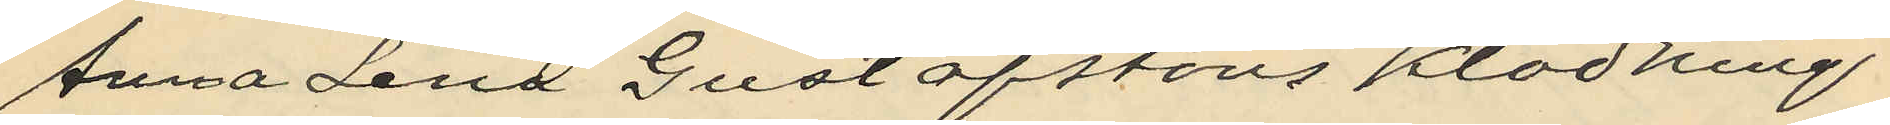Anna Lena Gustafssons klädning
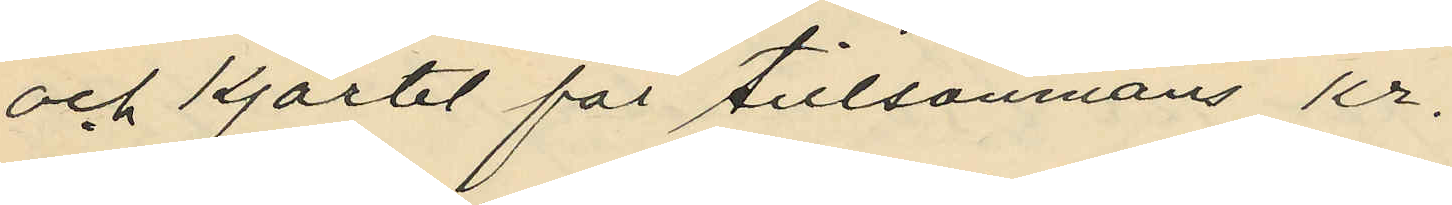och kjortel för tillsammans Kr.
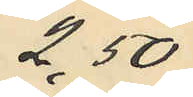2,50
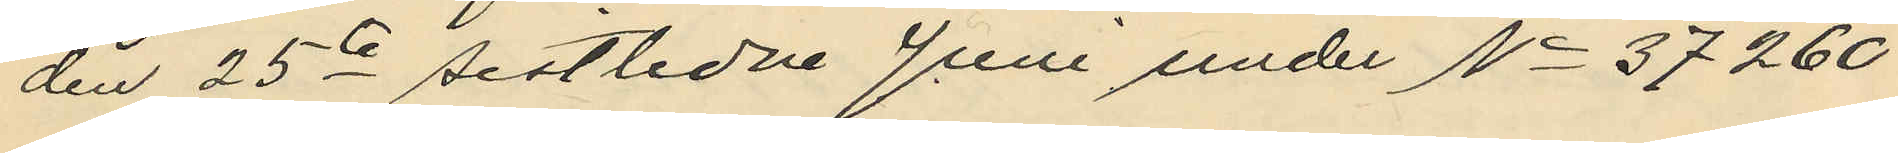den 25te sistlidne Juni under No 37260
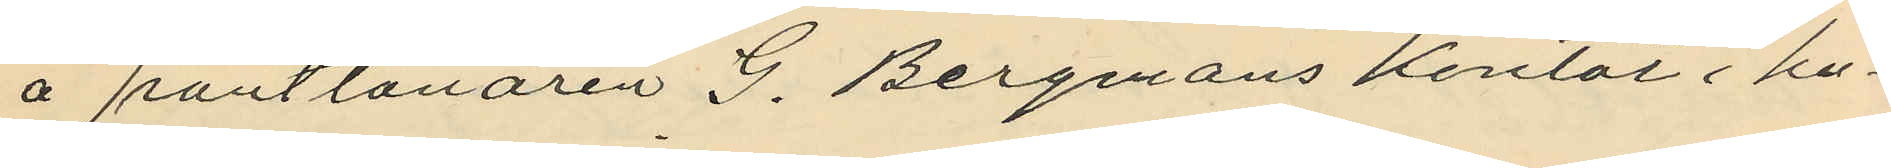å pantlånaren G. Bergmans kontor i hu¬
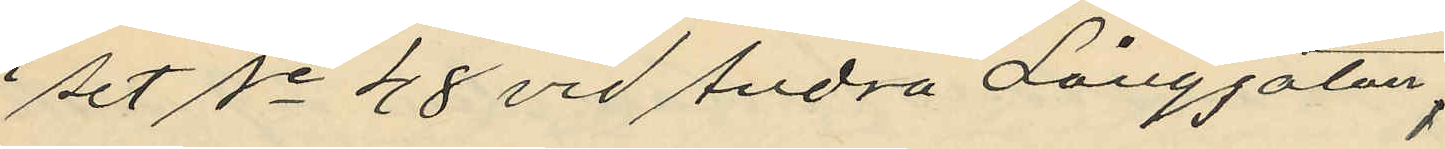set No 48 vid Andra Långgatan,
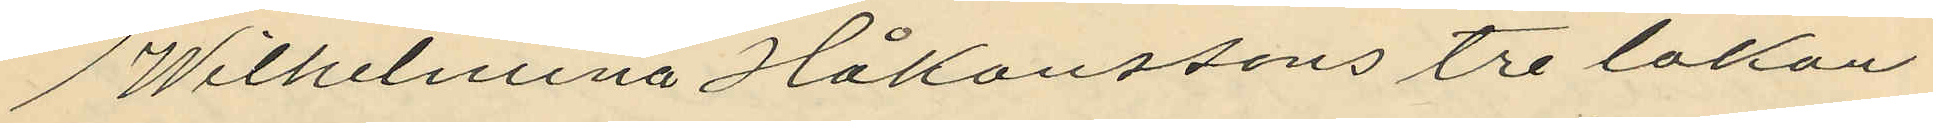Wilhelmina Håkanssons tre lakan
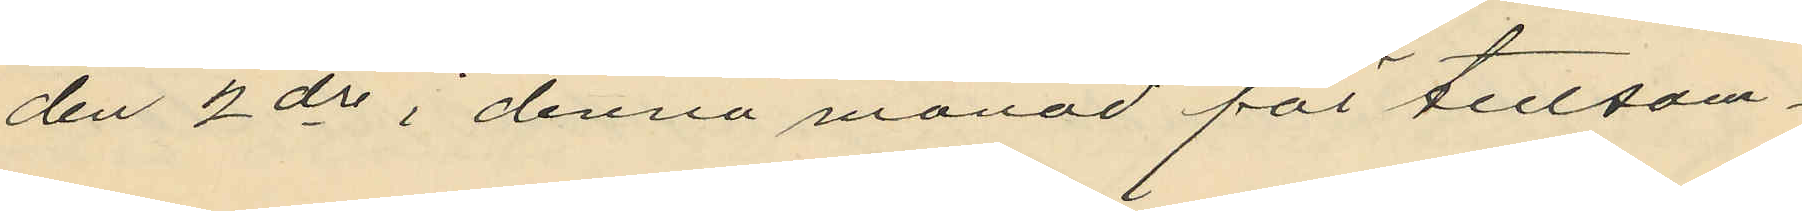den 2 ds i denna månad för tillsam¬
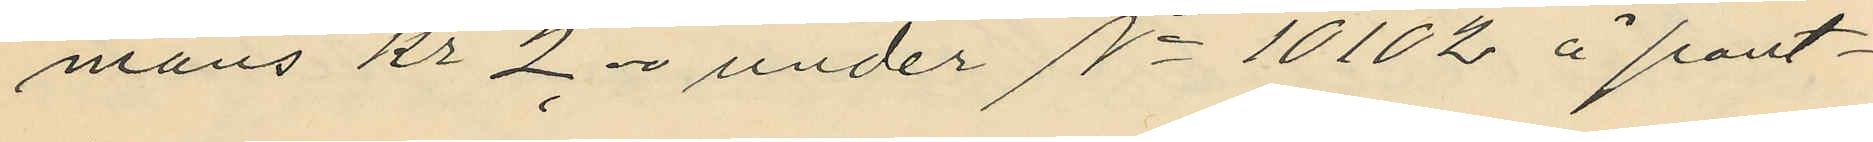mans Kr 2,00 under No 10102 å pant¬
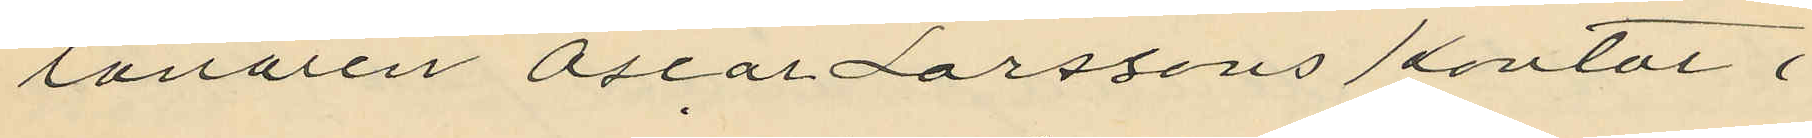lanaren Oscar Larssons kontor i
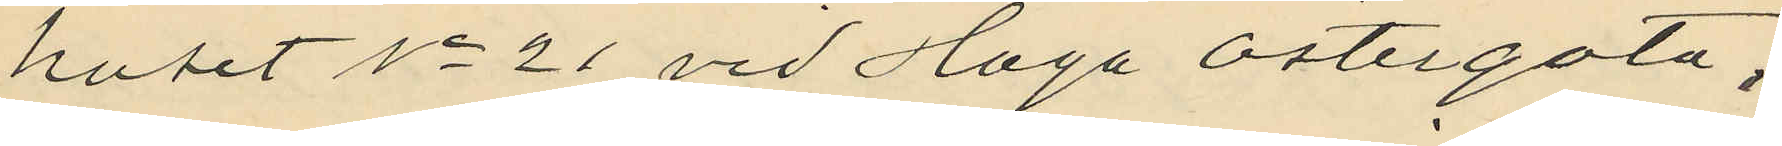huset No 21 vid Haga Östergata.
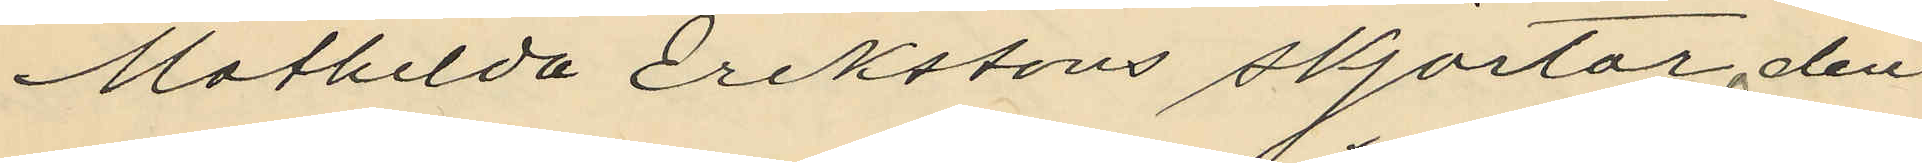Mathilda Erikssons skjortor, den
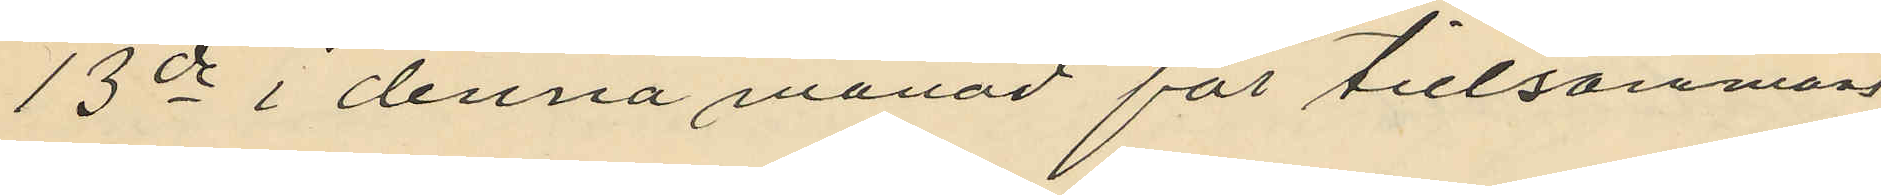13de i denna månad för tillsammans
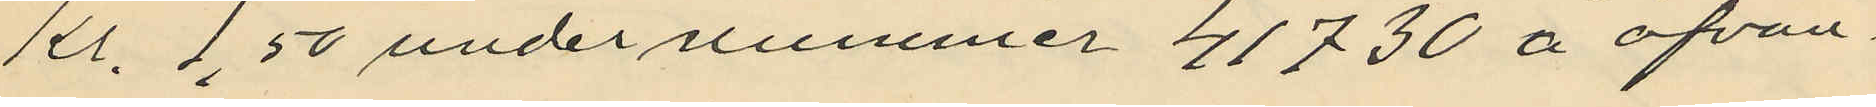Kr. 1,50 under nummer 41730 å ofvan¬
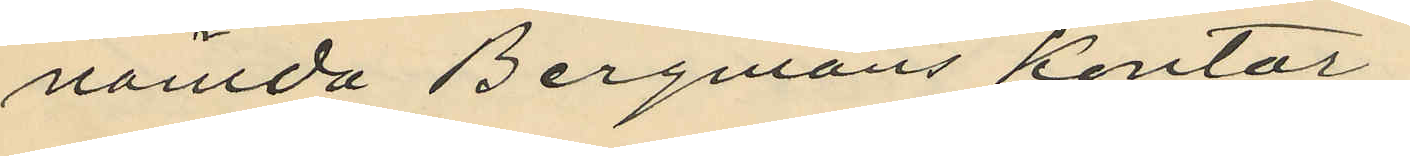nämda Bergmans kontor.
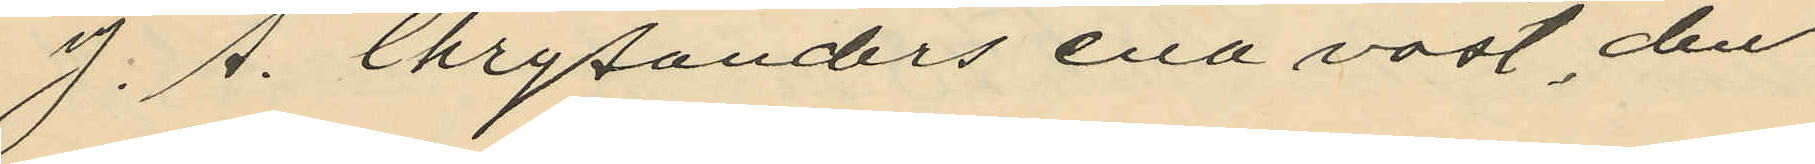J. A. Chrysanders ena väst, den
